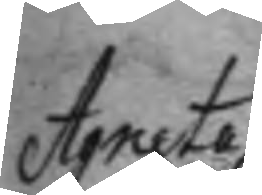Agneta
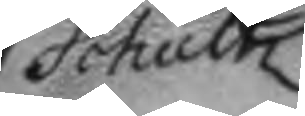Schultz
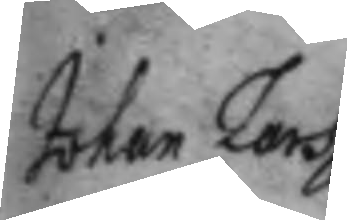Johan Lars¬
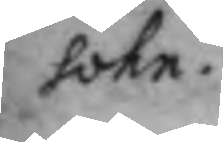sohn.
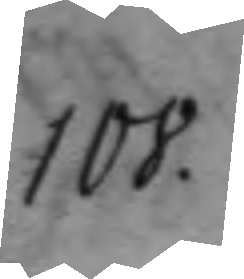108.
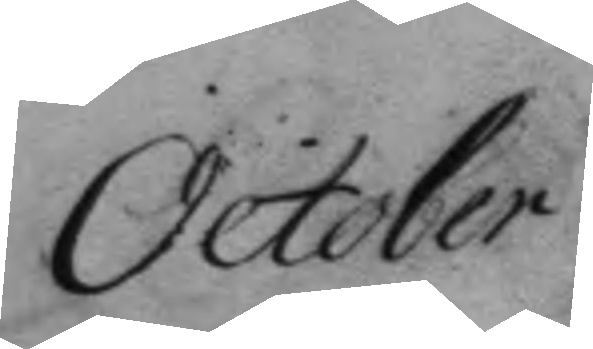October
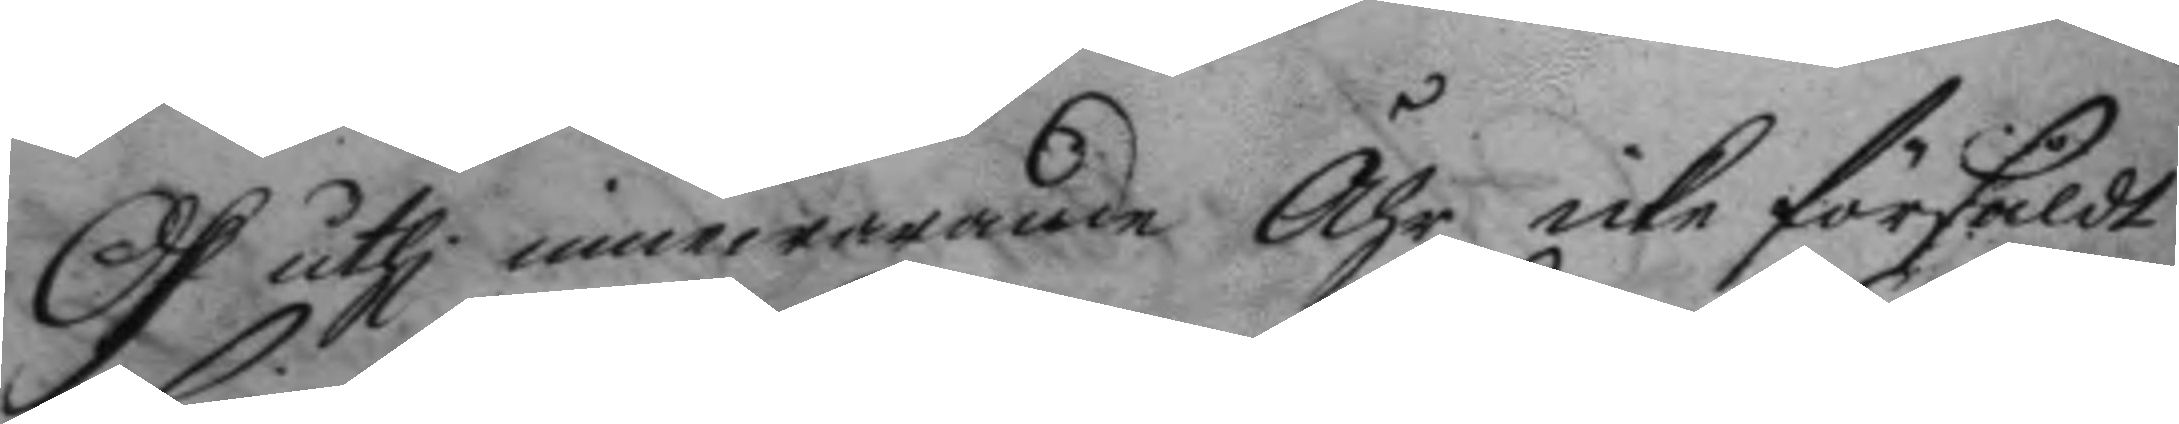och uthi innewarnade Åhr, icke försåldt
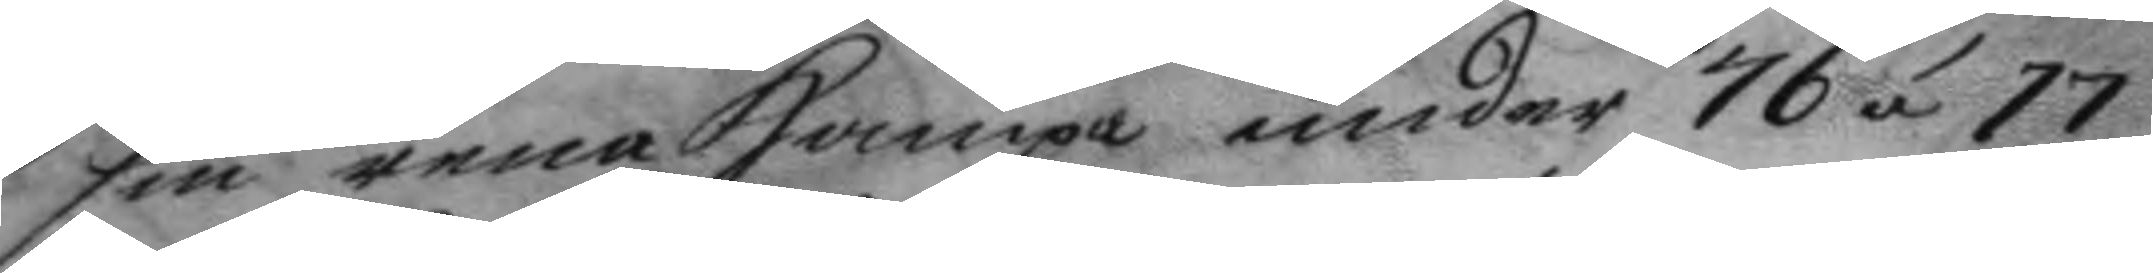sin rena Hampa under 76 á 77
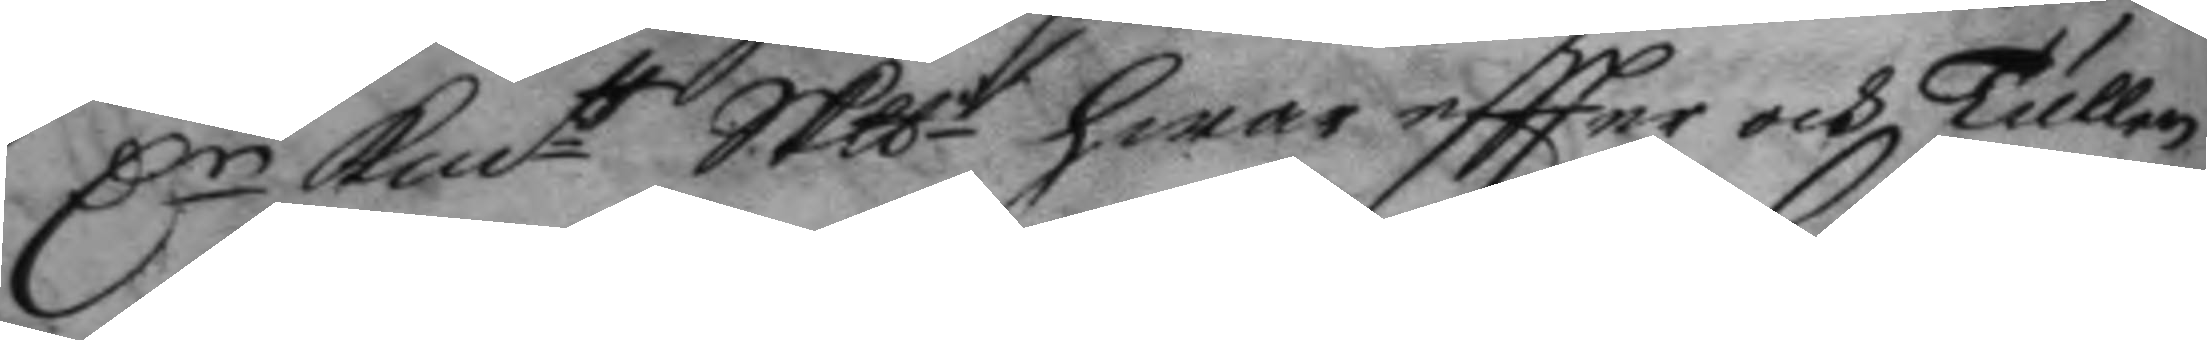Dr Kmtt Skp hwar eftter och Tullen
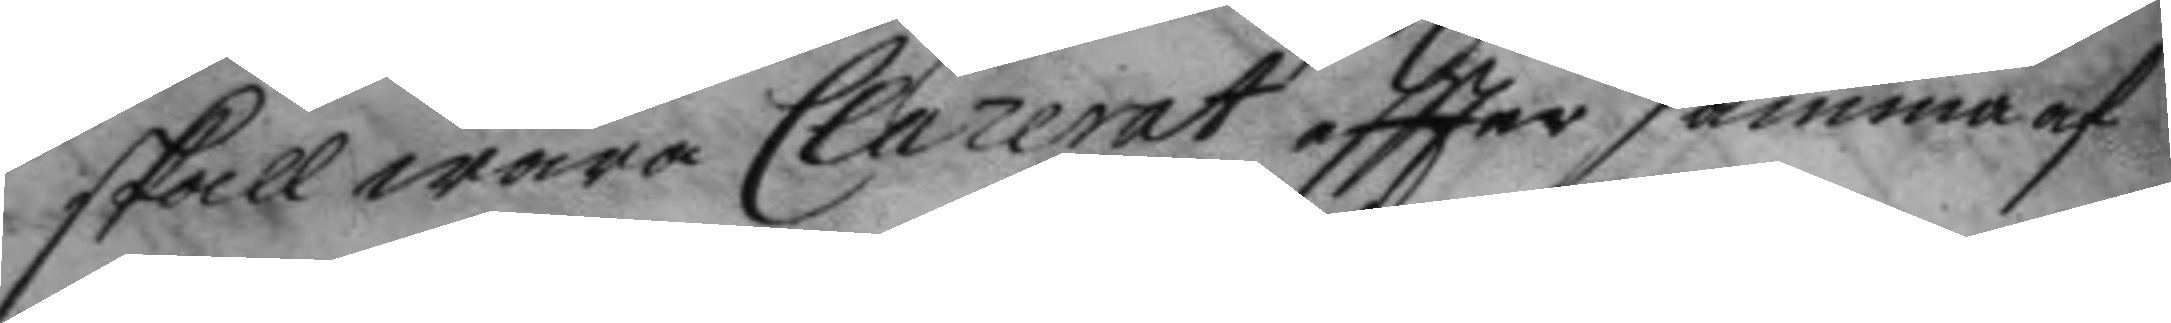skall wara Clarerat eftter samma af
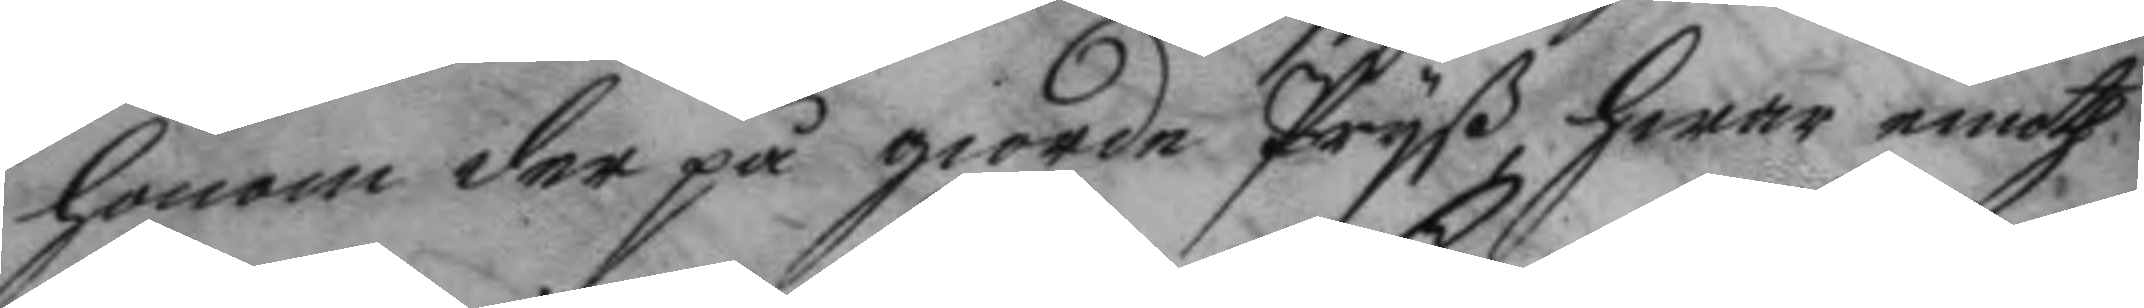honom der på giorde Pryß hwar emoth
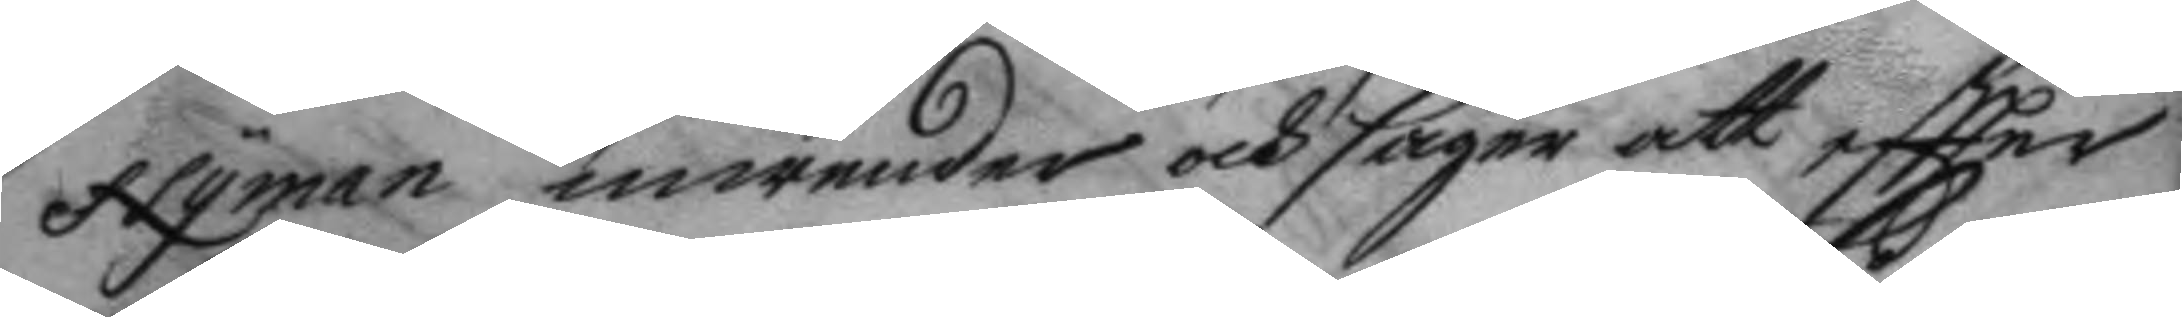Nyman inwender och säger att eftter
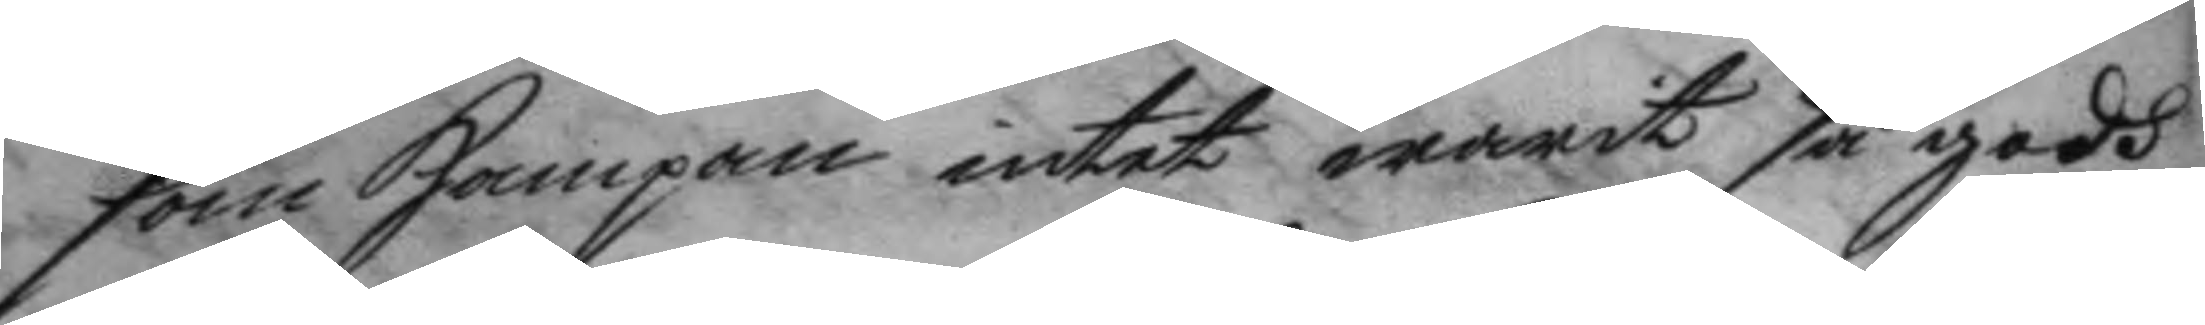som Hampan intet warit så godh
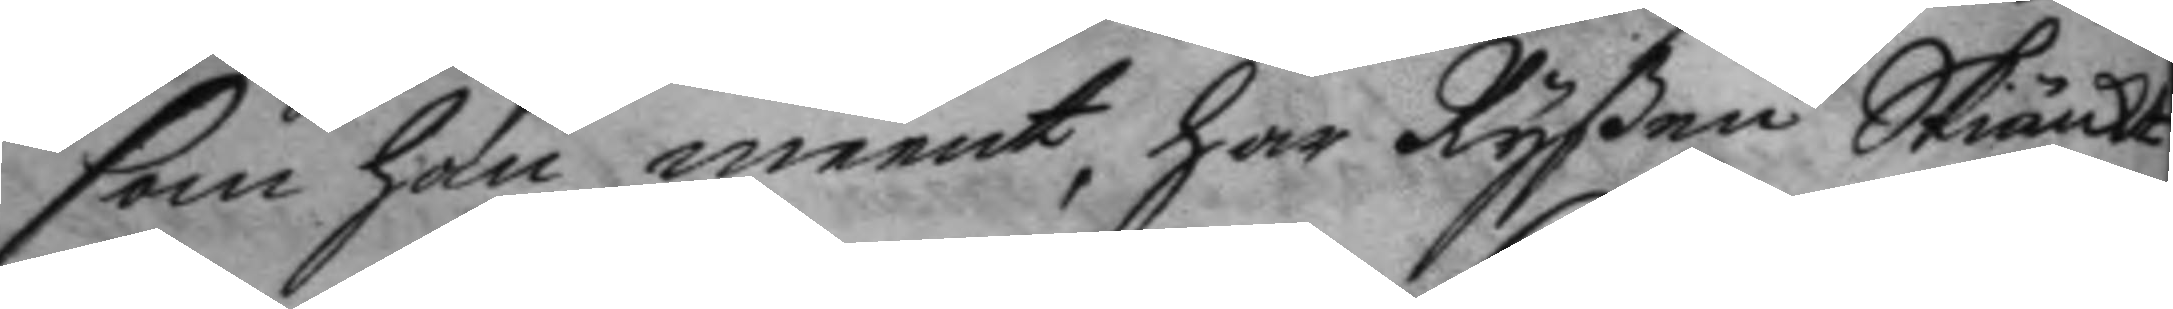som han meent, har Ryßen Skiänkt
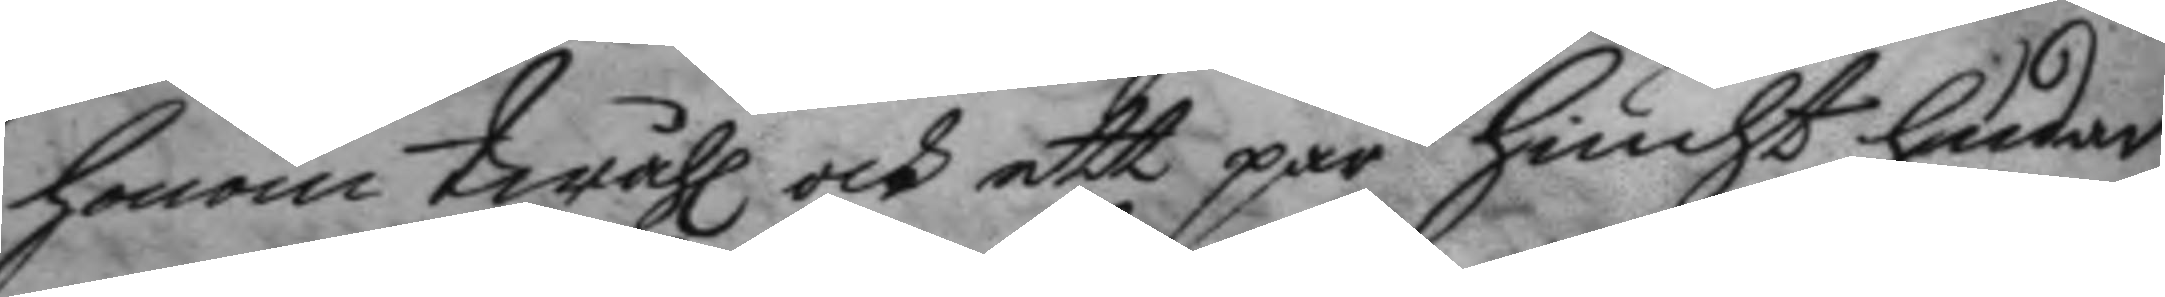honom twåhl och ett par hiucht hudar
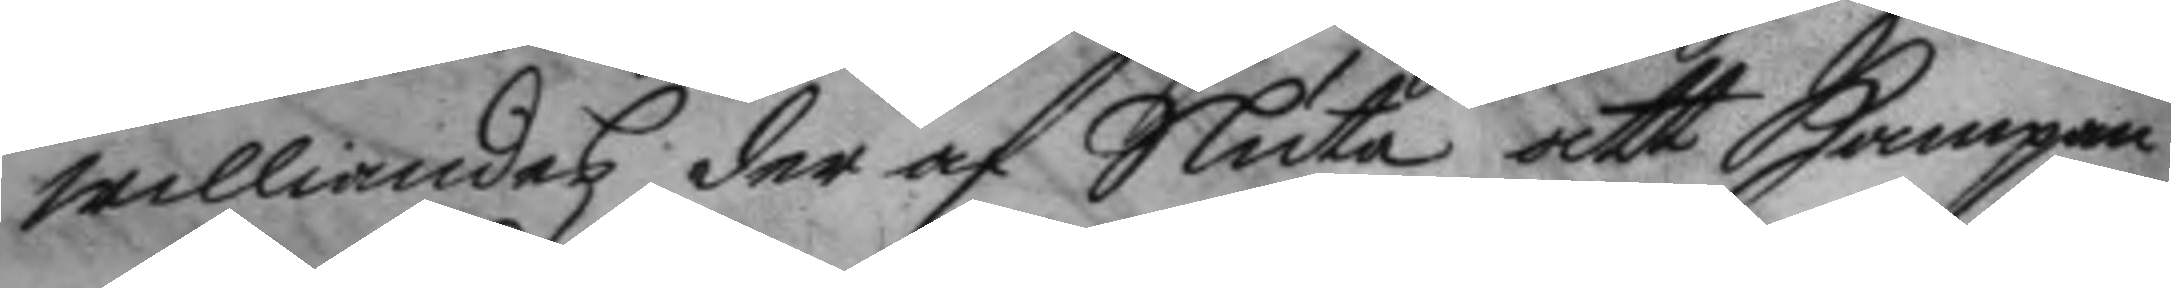williandes der af Sluta att Hampan
